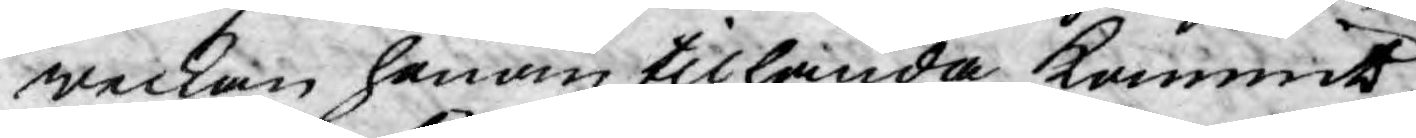weckan honom tilhanda kommit
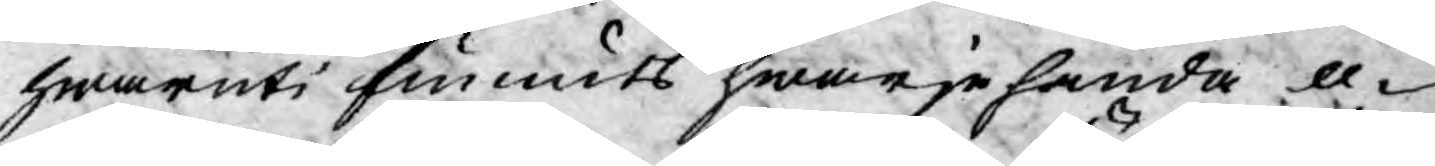hwaruti funnits hwarjehanda o¬
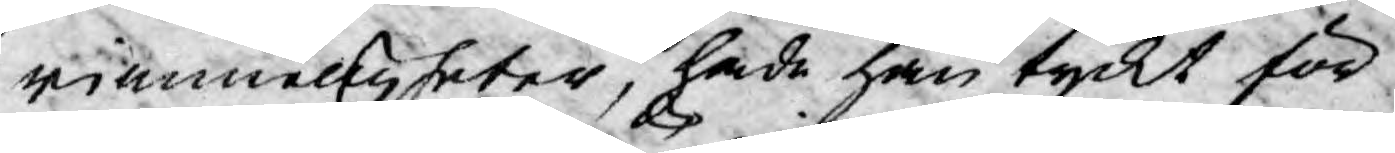rimmeligheter, hade han tyckt för
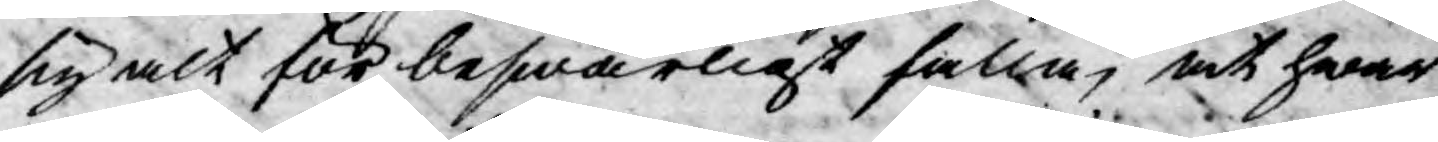sig alt för beswärligt falla, at hwar
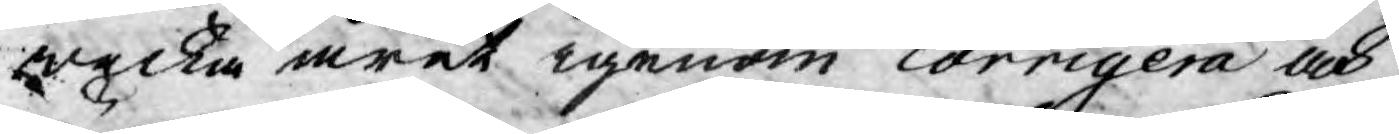wecka året igenom corrigera och
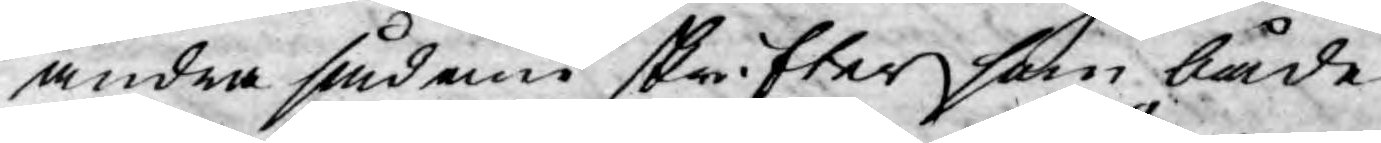ändra sådan skrifter som både
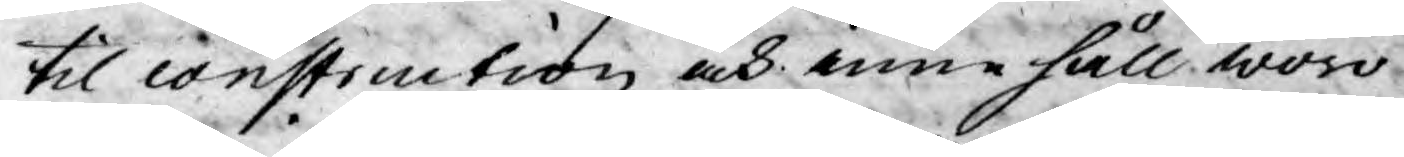til construction och innehåll woro
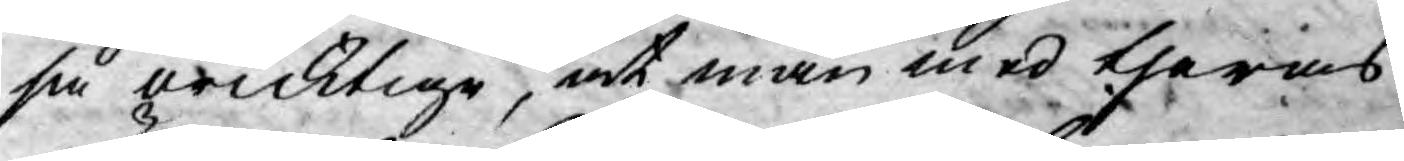så oricktige, at man med theras
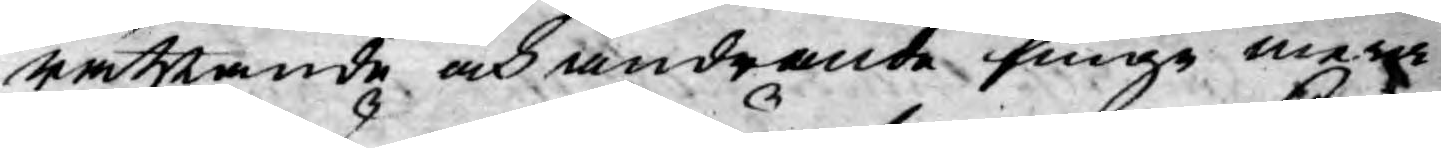rättande och ändrande finge mera
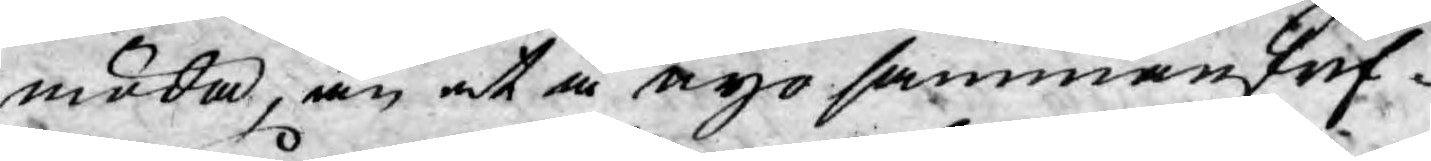möda, än at å nyo sammanskrif-
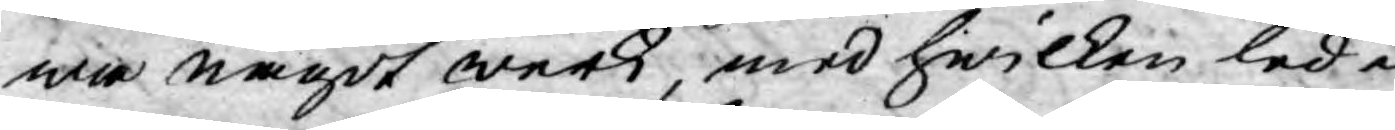wa något werk, med hwilken leda
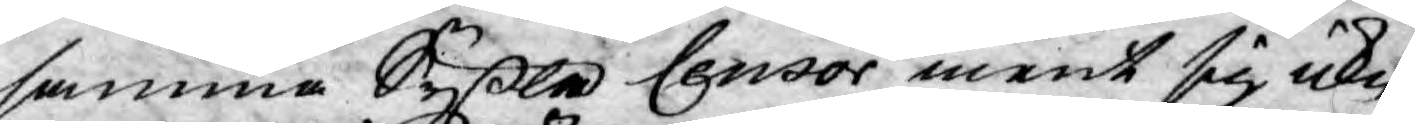samma syßla Censor ment sig icke
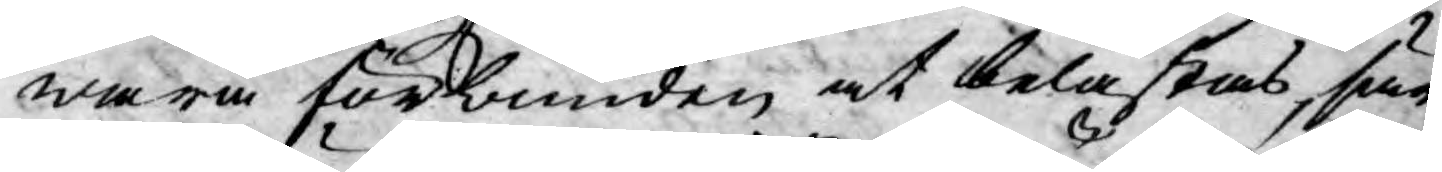wara förbunden at belastas, sär¬
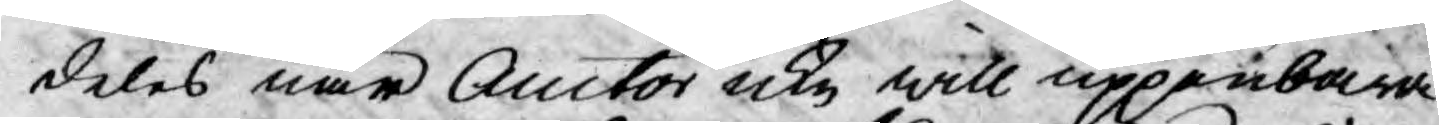deles när Auctor icke will uppenbara
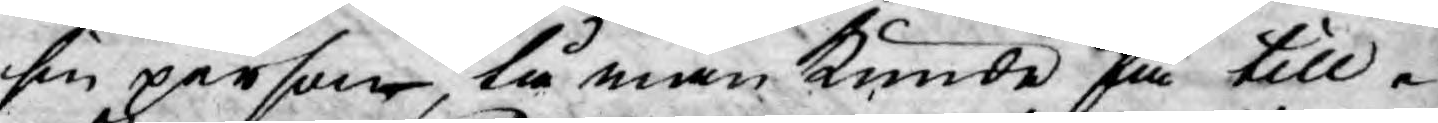sin person, tå man kunde få till¬
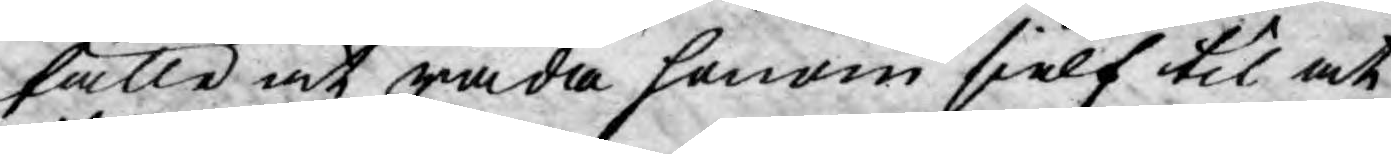fälle at råda honom sielf til at
